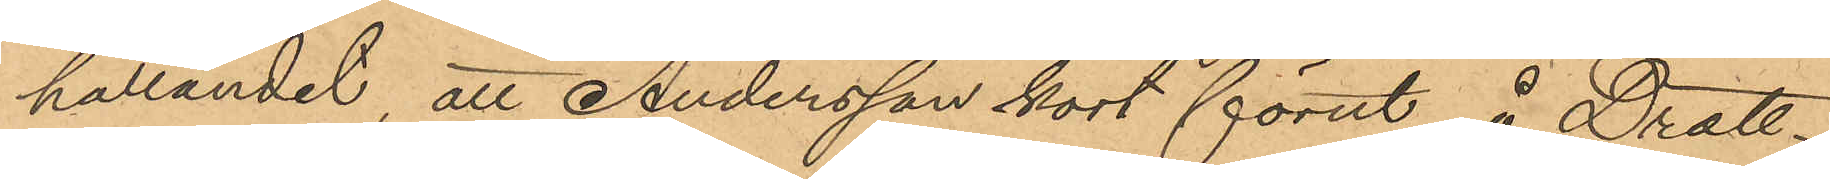hållandet, att Andersson kort förut å Drott¬
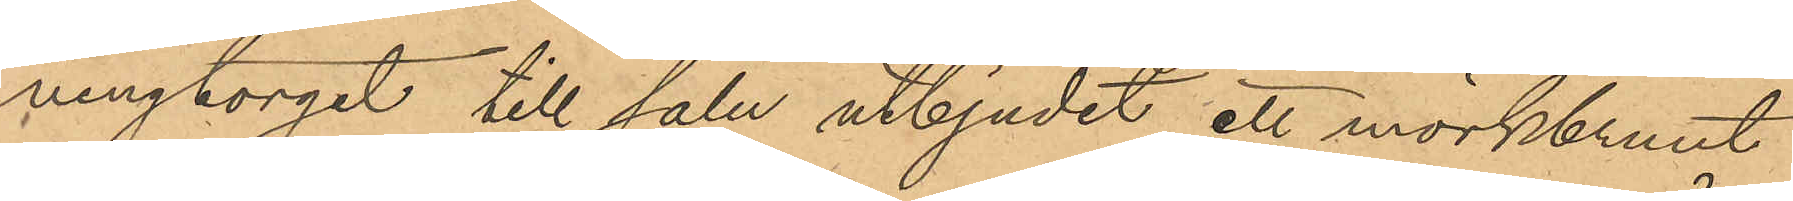ningtorget till salu utbjudit ett mörkbrunt
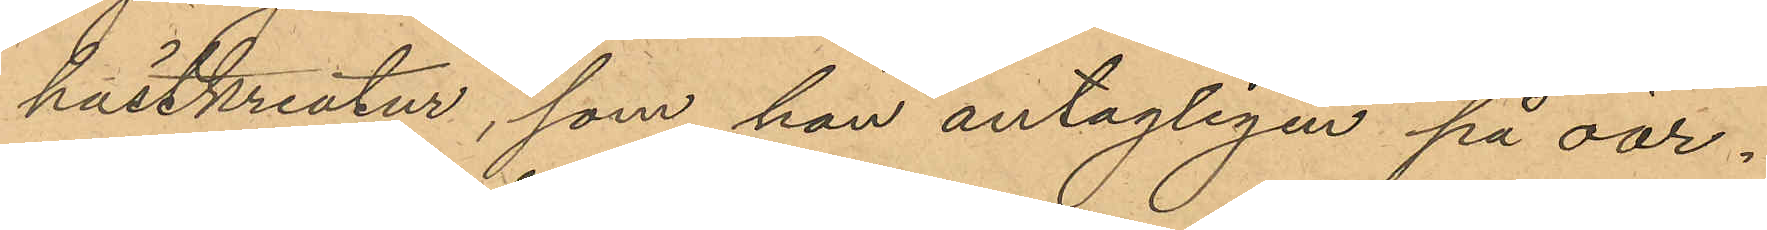hästkreatur, som han antagligen på oär¬
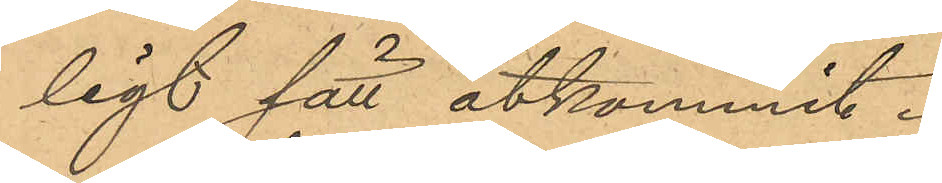ligt sätt åtkommit.
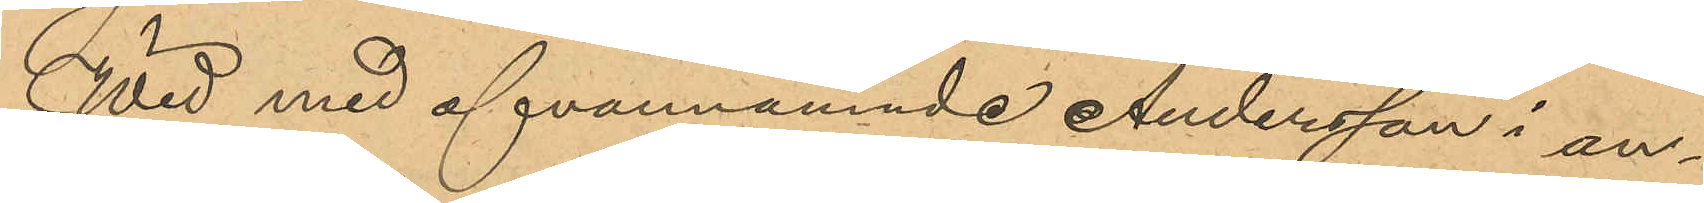Wid med ofvannämnde Andersson i an¬
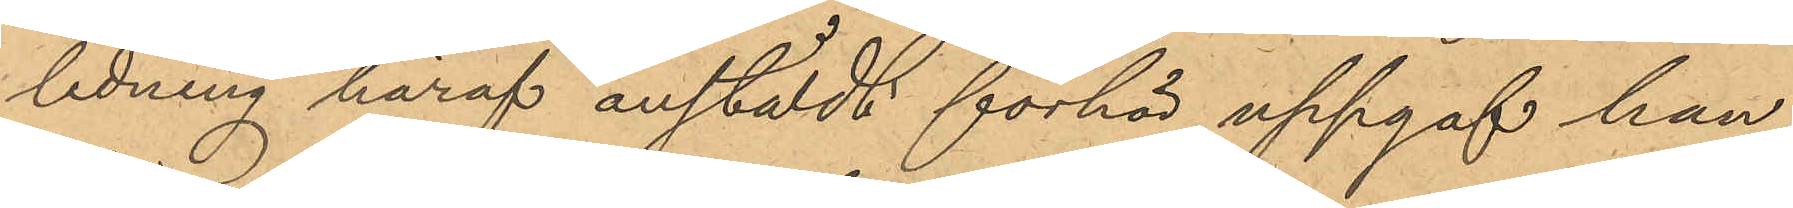ledning häraf anstäldt förhör uppgaf han
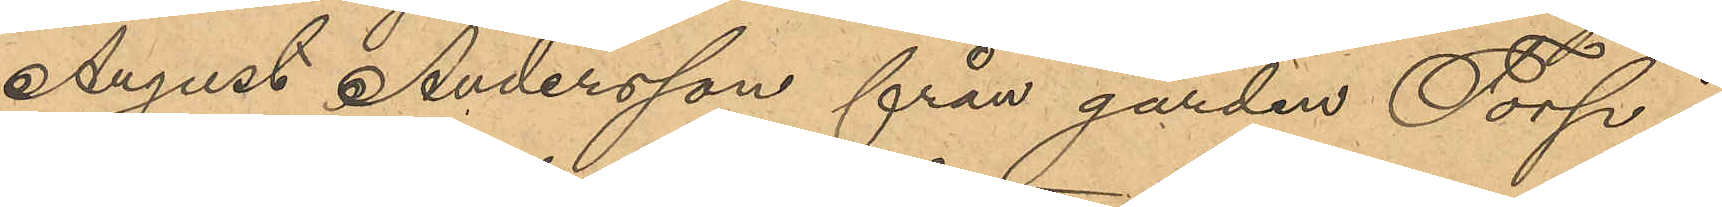August Andersson från gården Torp i
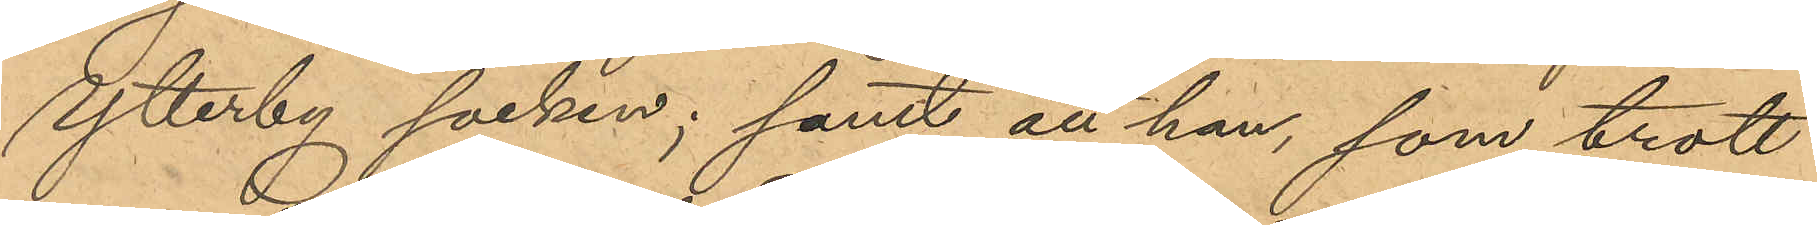Ytterby socken; samt att han, som trott
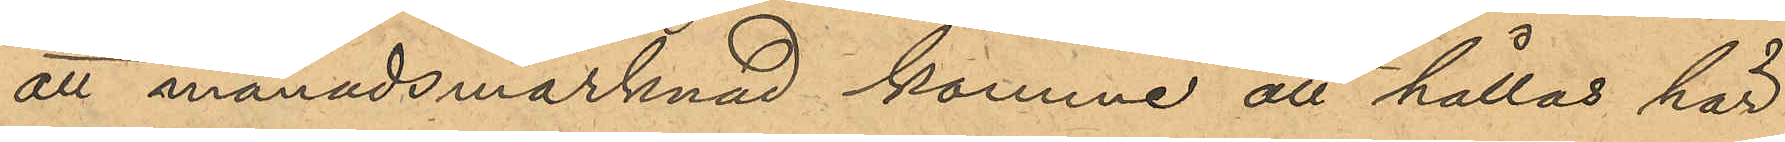att månadsmarknad komme att hållas här
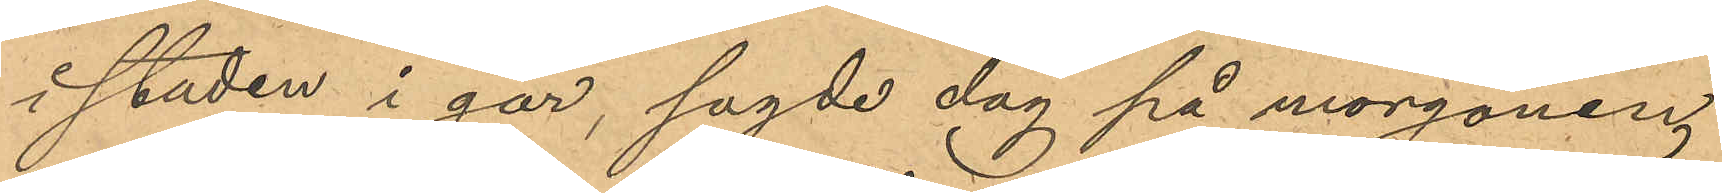i staden i går, sagde dag på morgonen
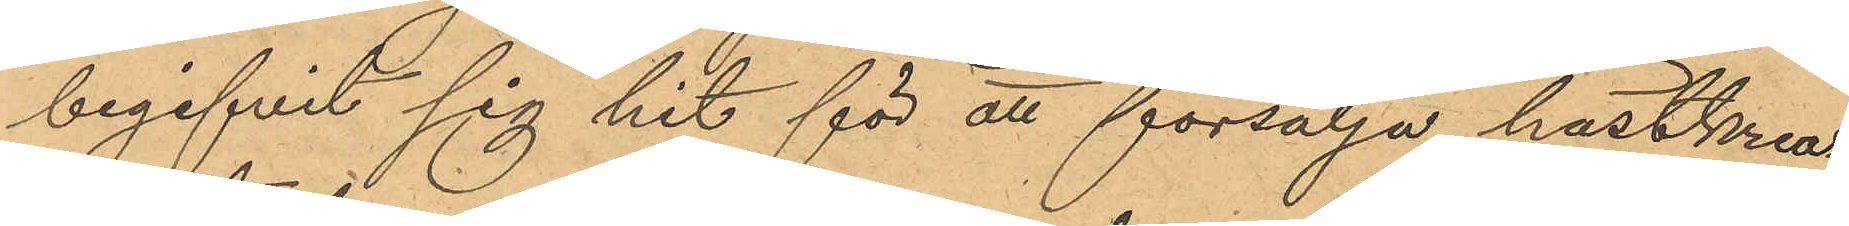begifvit sig hit för att försälja hästkrea¬
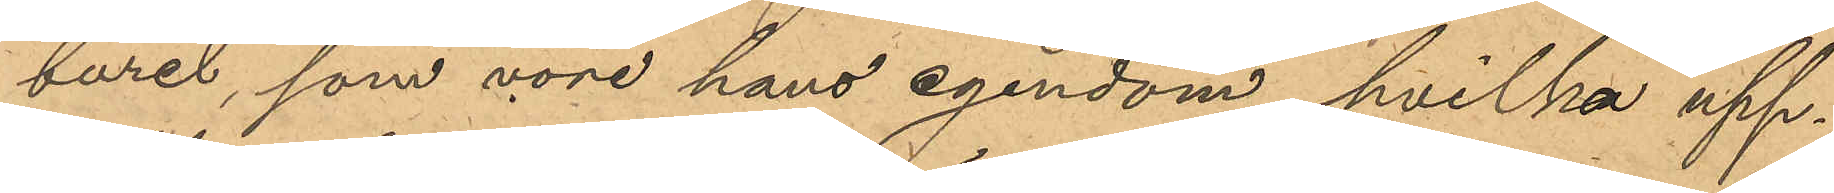turet, som vore hans egendom, hvilka upp¬
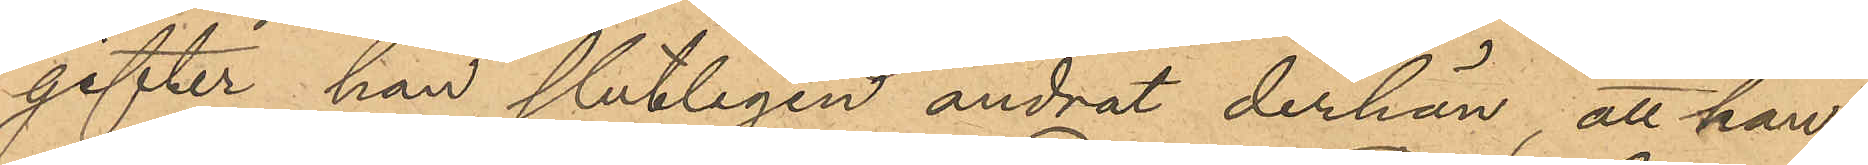gifter han slutligen ändrat derhän, att han
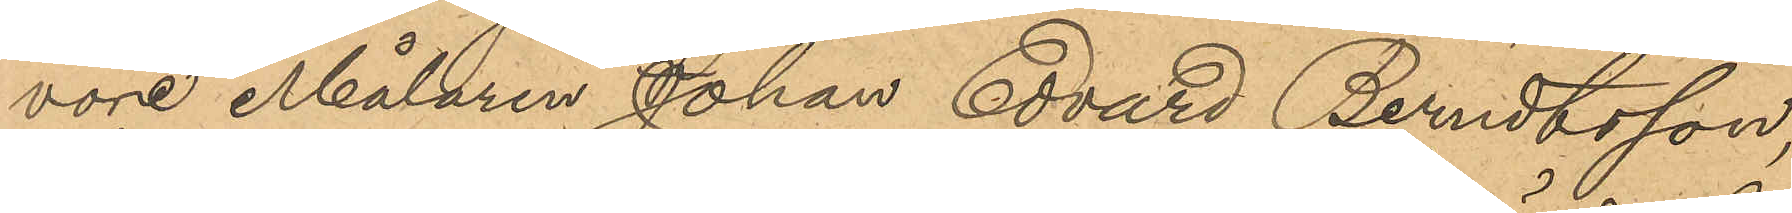vore Målaren Johan Edvard Berndtsson,
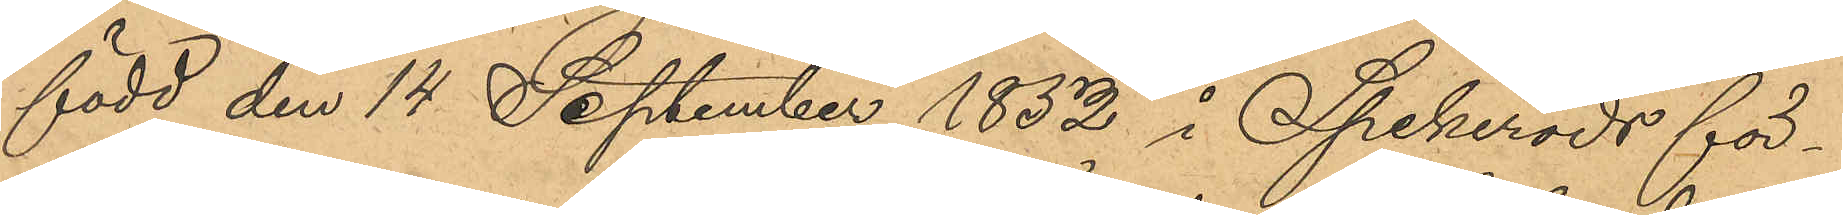född den 14 September 1852 i Spekeröds för¬
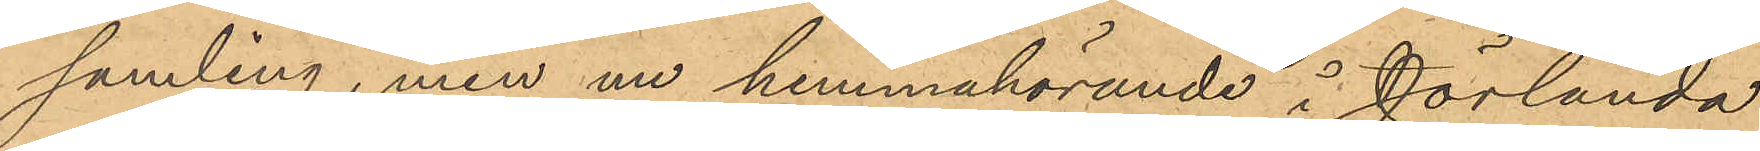samling, men nu hemmahörande i Jörlanda
